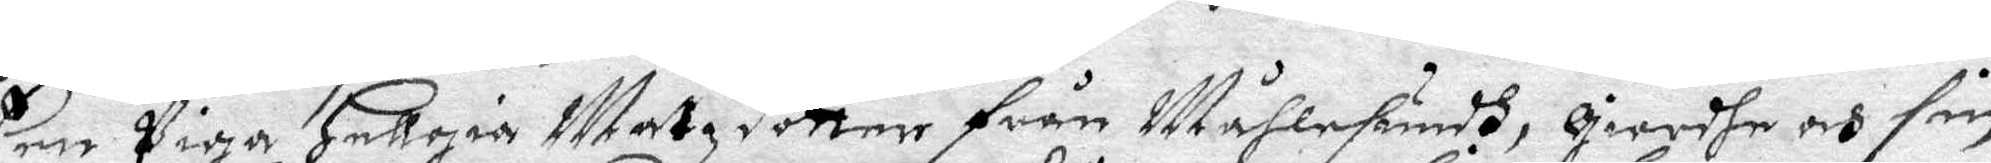Een Piga Hellgia Matzdotter från Måhlesundh, giordhe och sin
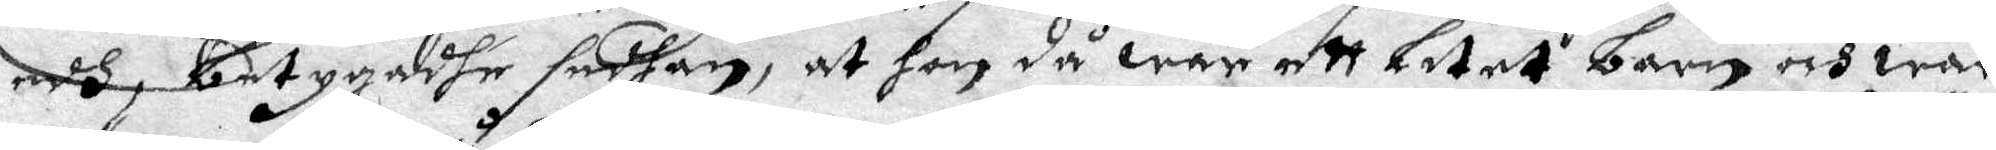edh, betygadhe sedhan, at hon då war ett litet barn och war
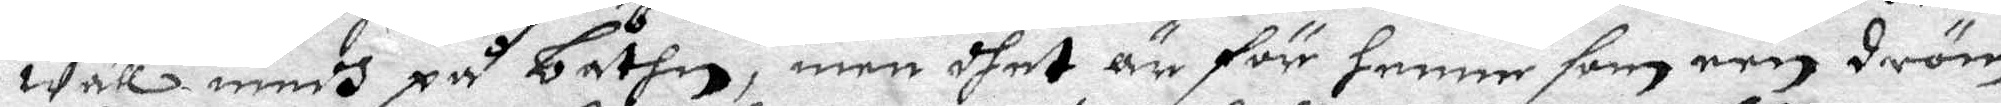wäll medh på båthen, men dhet är för henne som een dröm
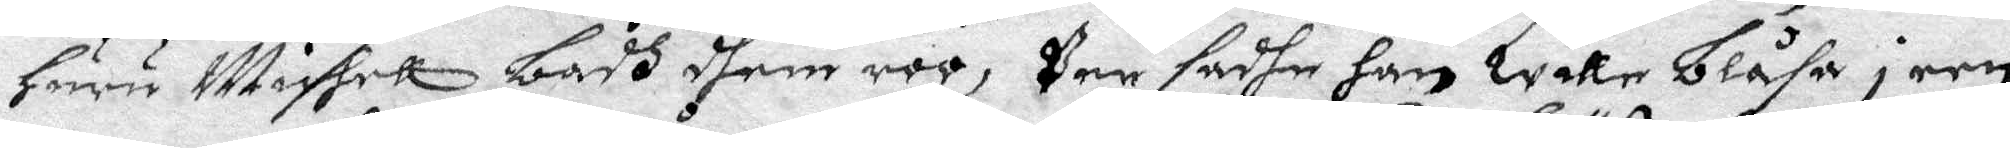huru Muchell badh dhem roo, Per sadhe han wille blåsa i een
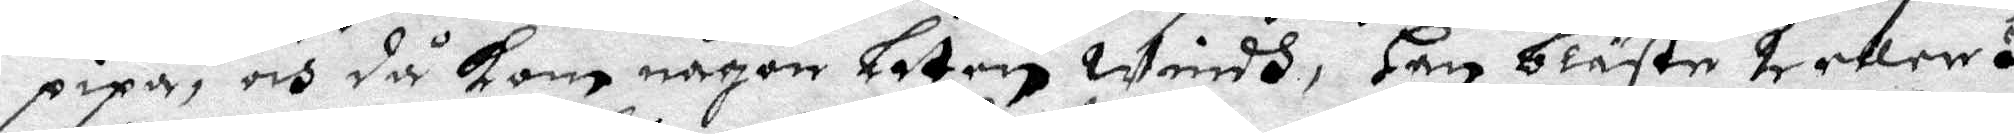pipa, och då kom någon Liten Windh, Han bläste 2 eller 3
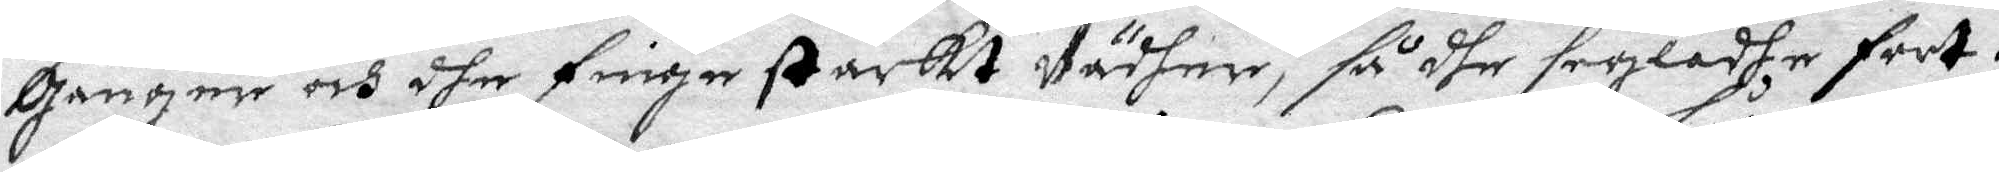gånger och dhe fingo starkt Vädher, s dhe segladhe fort.
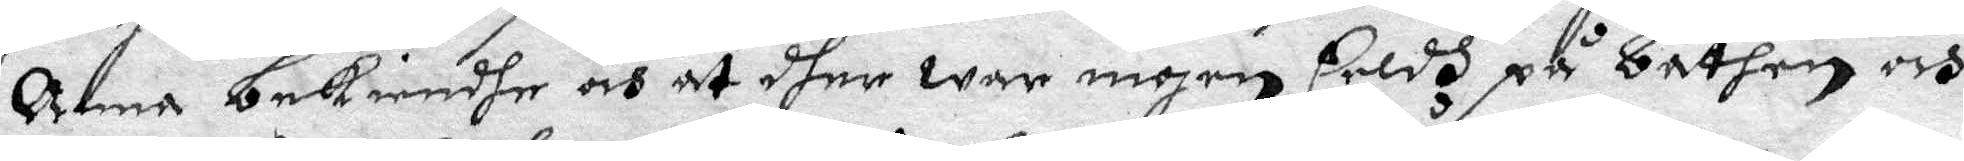Anna nekiendhe och at dher war ingen Eeldh på båthen och
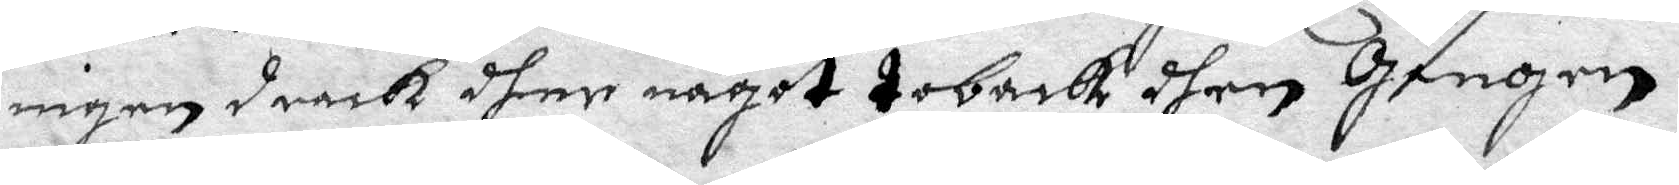ingen drack dher något toback dhen Gången.
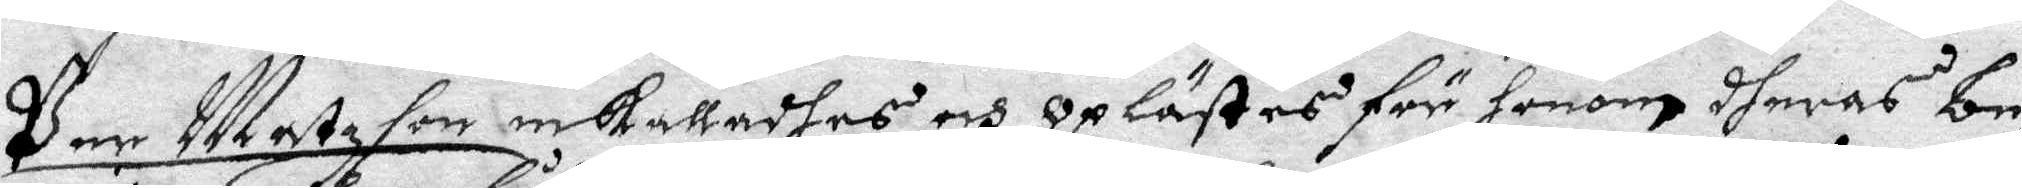Per Matzson inkallades och oplästes för honom dheras be¬
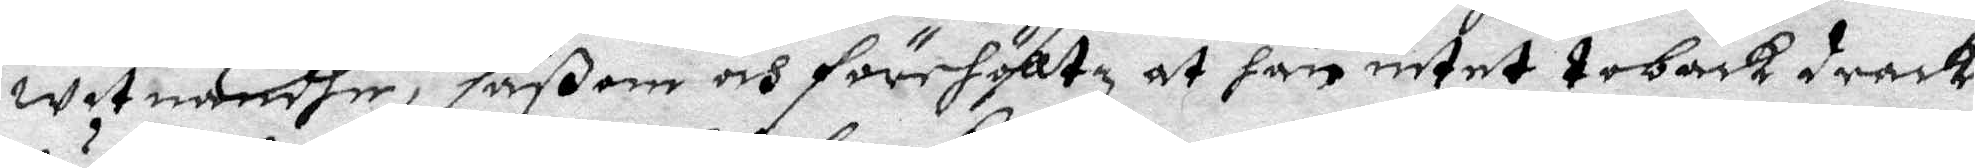witnandhe, såßom och förehöltz at han intet toback drack
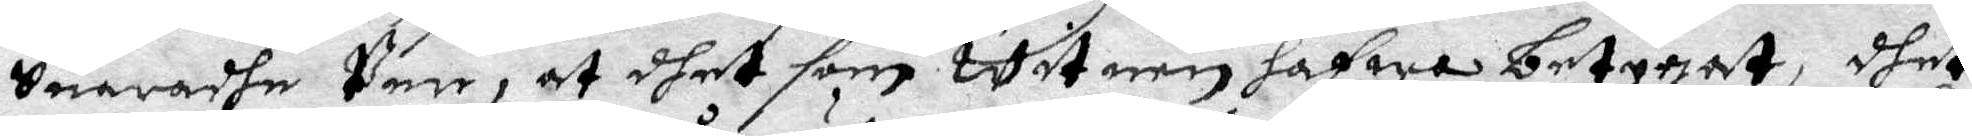Suaradhe Per, at dhet som Witnen hafwa betygat, dhet
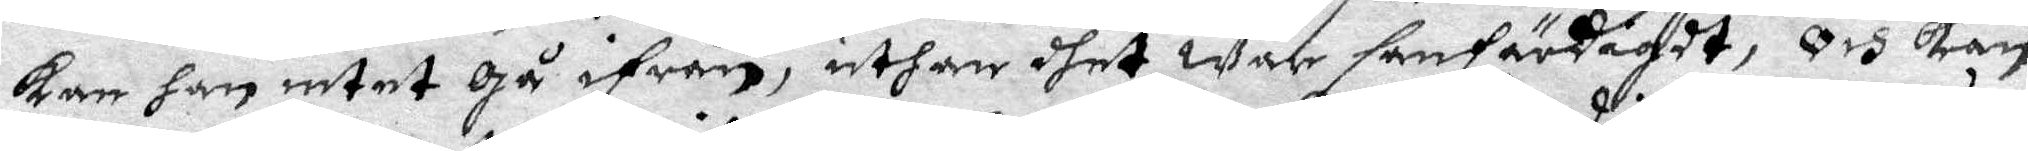kan han intet gå ifrån, uthan dhet war sanfärdigdt, och kan
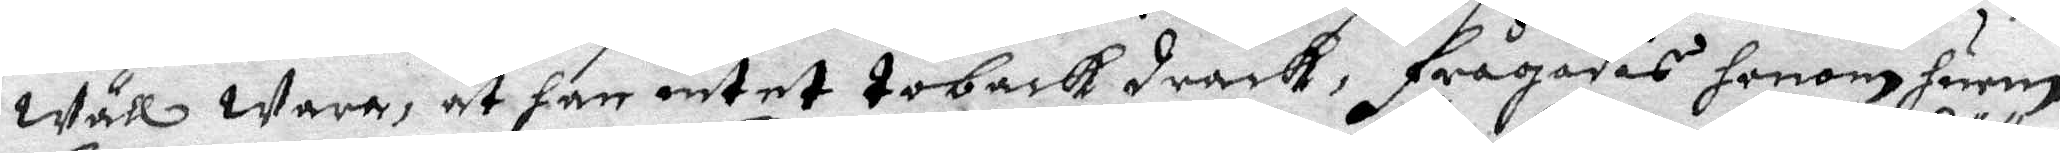Wäll Wara, at han intet toback drack, frågades honom huru
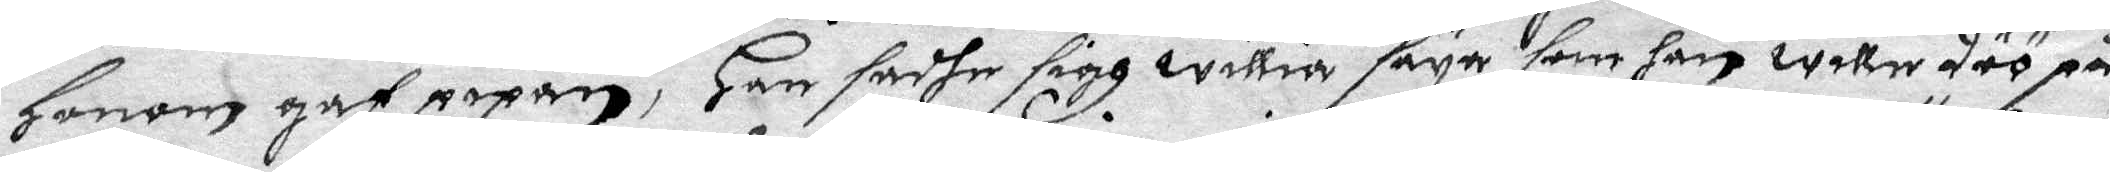honom gaf pipan, Han sadhe sigh willia säya som han wille döö på
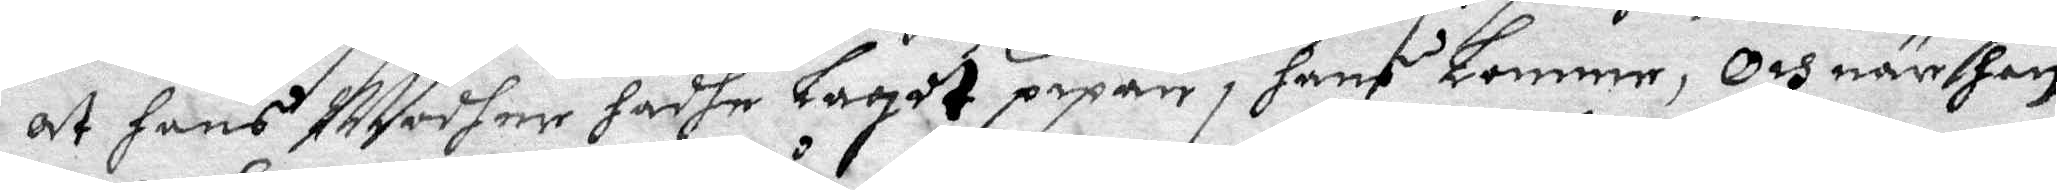at hans Modher hadhe lagdt pipan i hans Lomme, Och när han
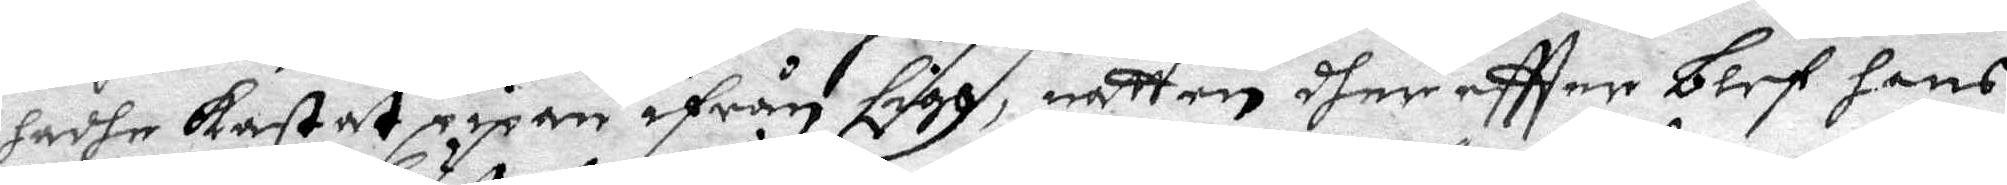hadhe kastat pipan ifrån sigh, natten dher eftter blef hans
